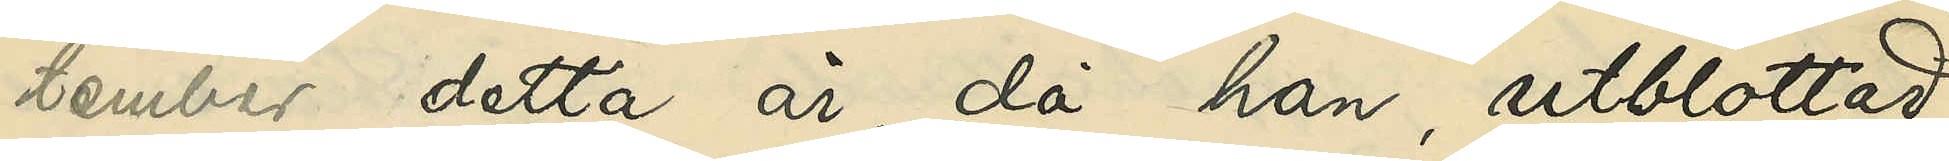tember detta år, då han, utblottad
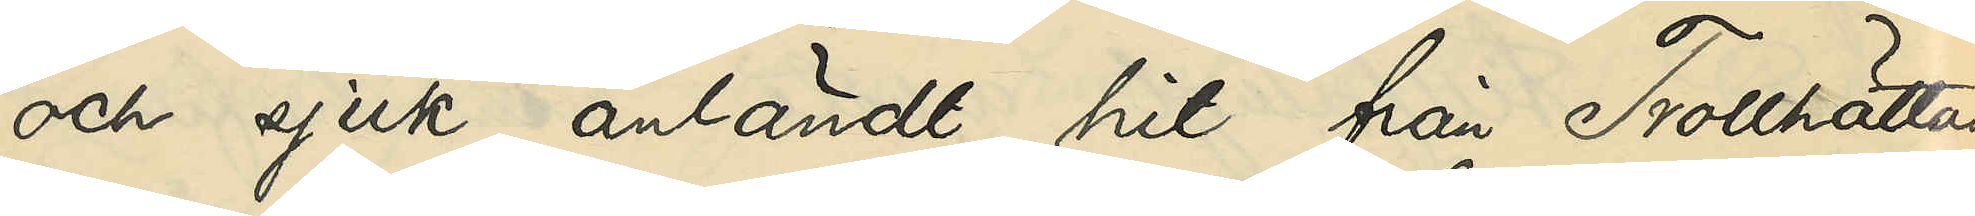och sjuk, anländt hit från Trollhättan
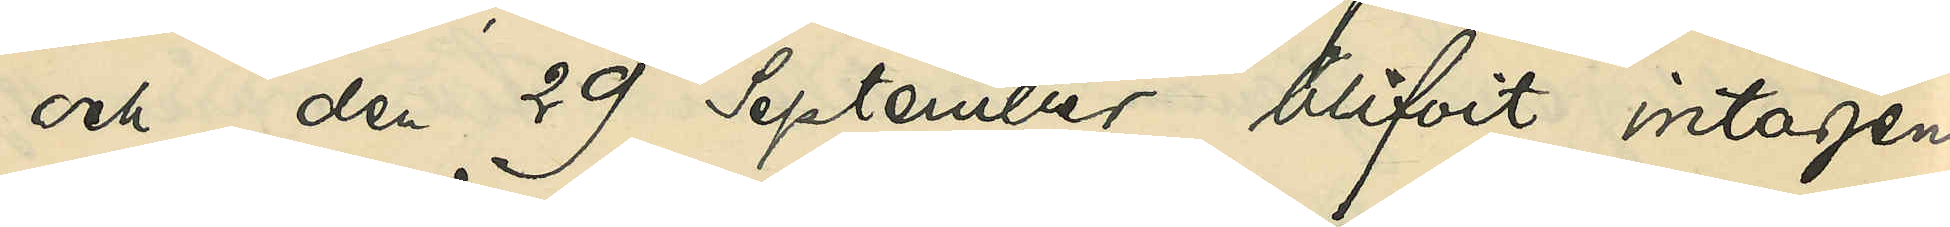och den 29 September blifvit intagen
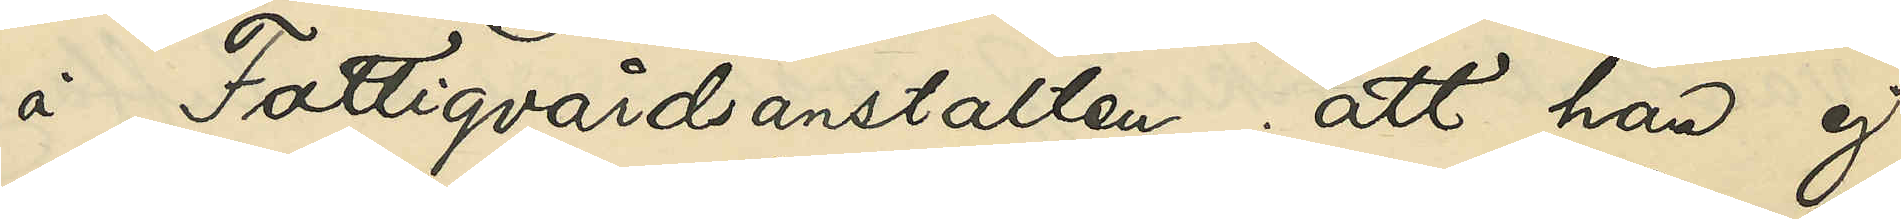å Fattigvårdsanstalten; att han ej
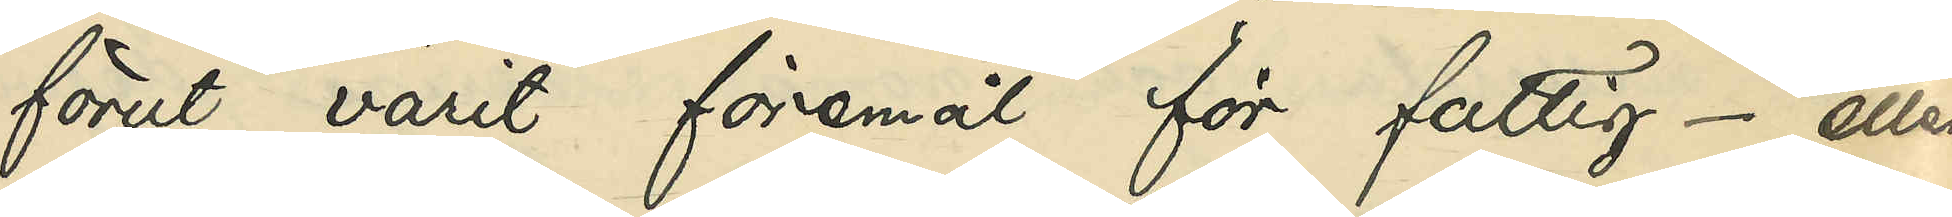förut varit föremål för fattig- eller
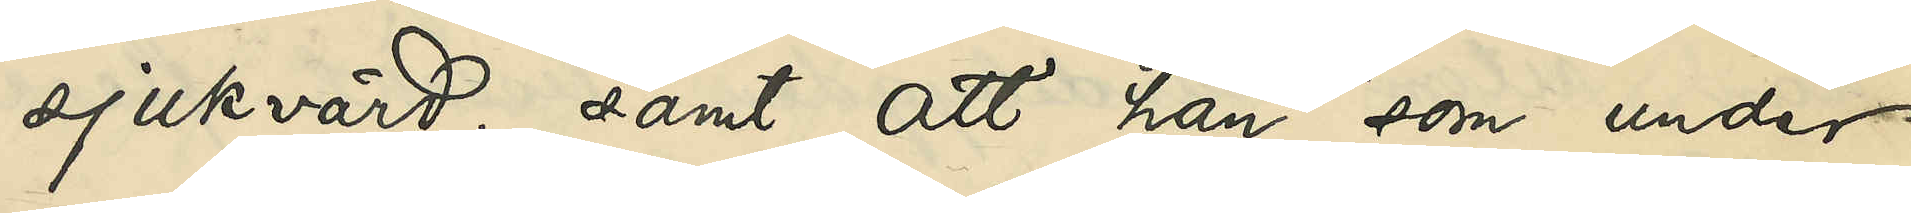sjukvård; samt att han, som under
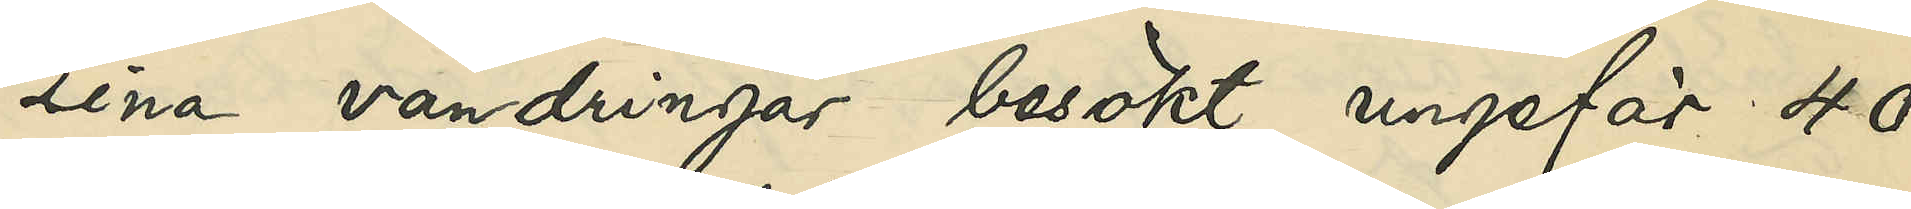sina vandringar besökt ungefär 40
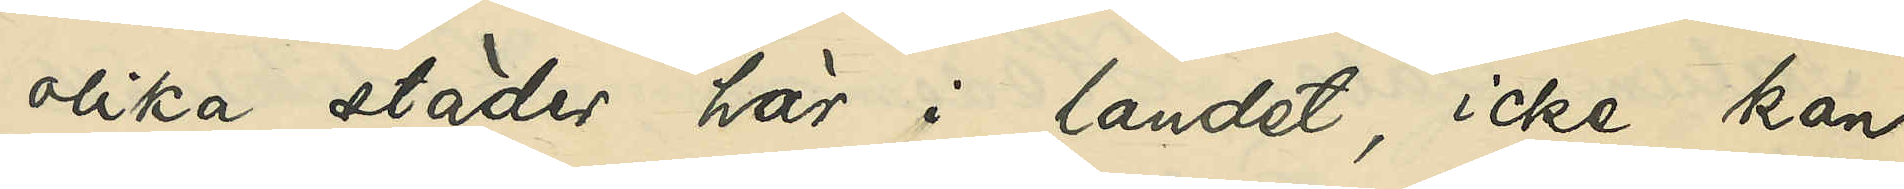olika städer här i landet, icke kan
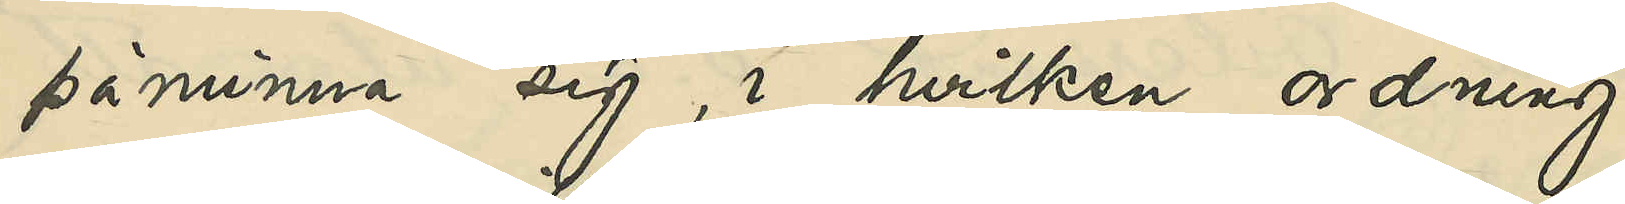påminna sig, i hvilken ordning
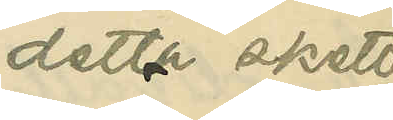detta skett
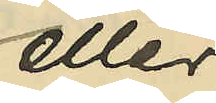eller
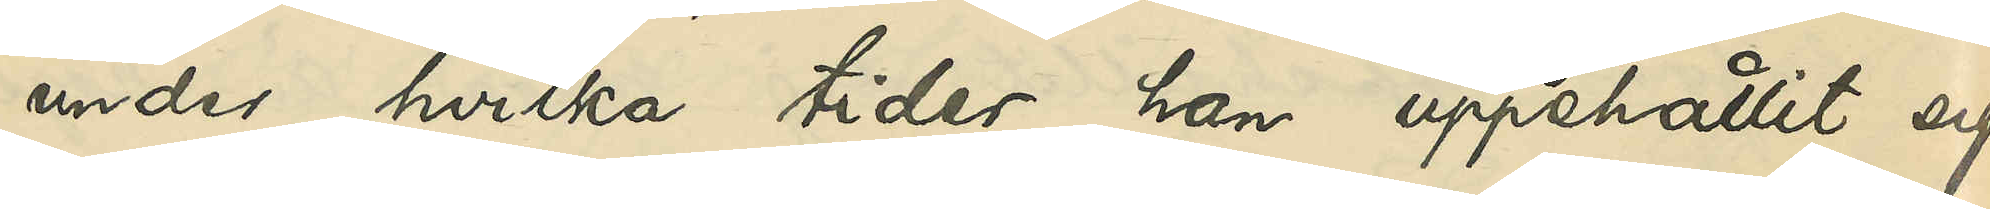under hvilka tider han uppehållit sig
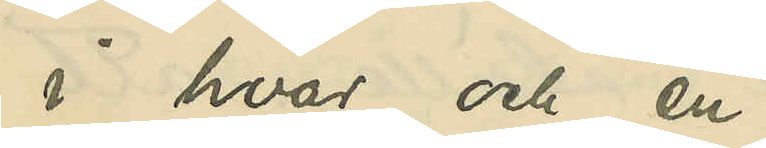i hvar och en.
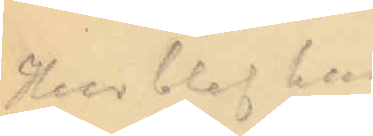Hur blef han
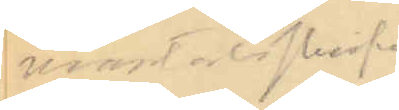mantalsskrifven
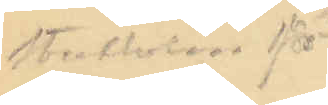i Stockholm för
